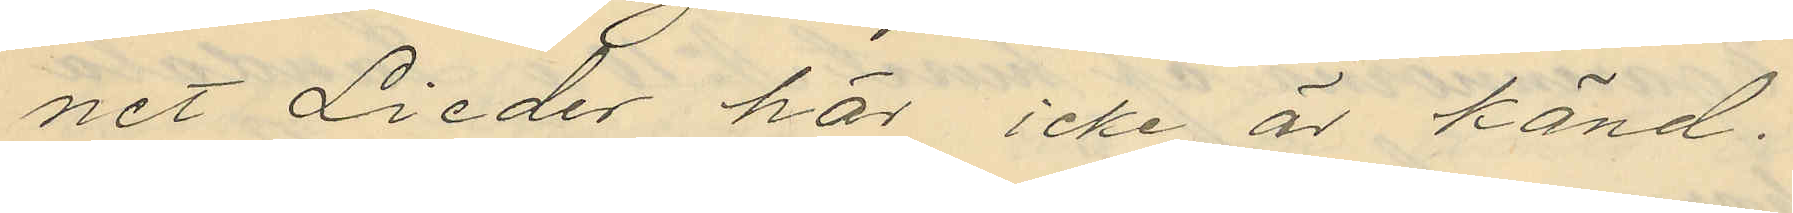net Lieder här icke är känd.
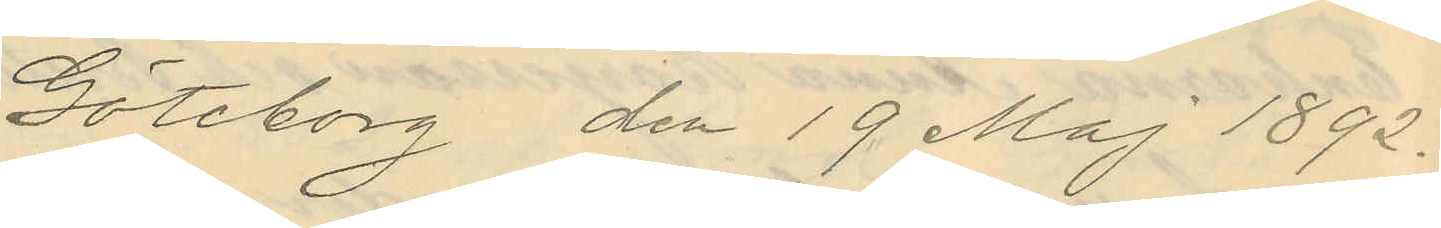Göteborg den 19 Maj 1892.
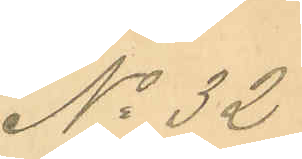No 32
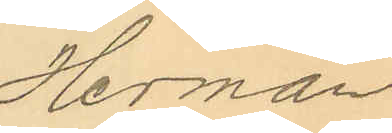Herman
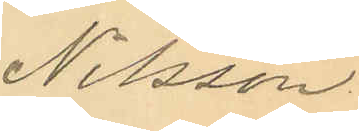Nilsson
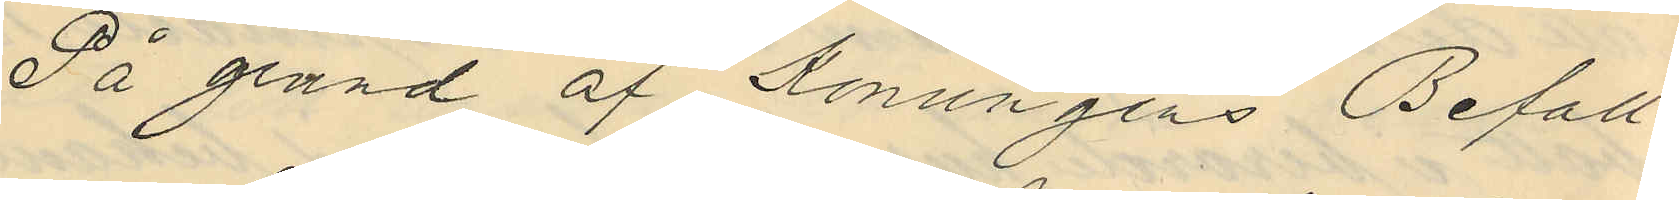På grund af Konungens Befall¬
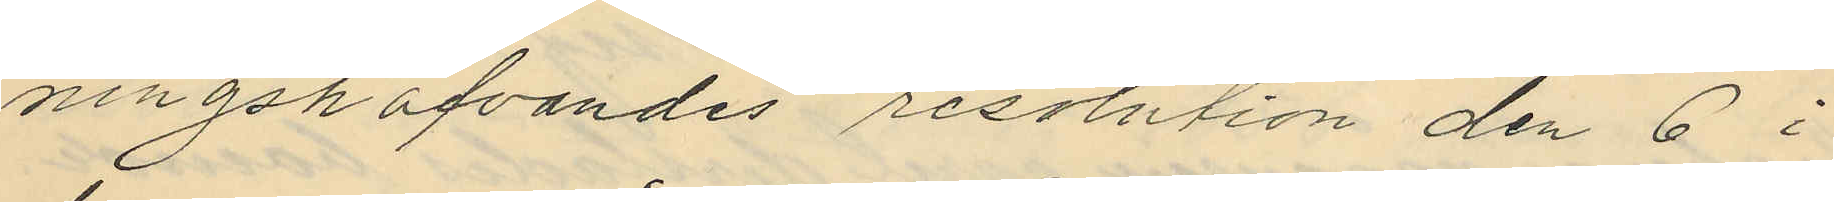ningshafvandes resolution den 6 i
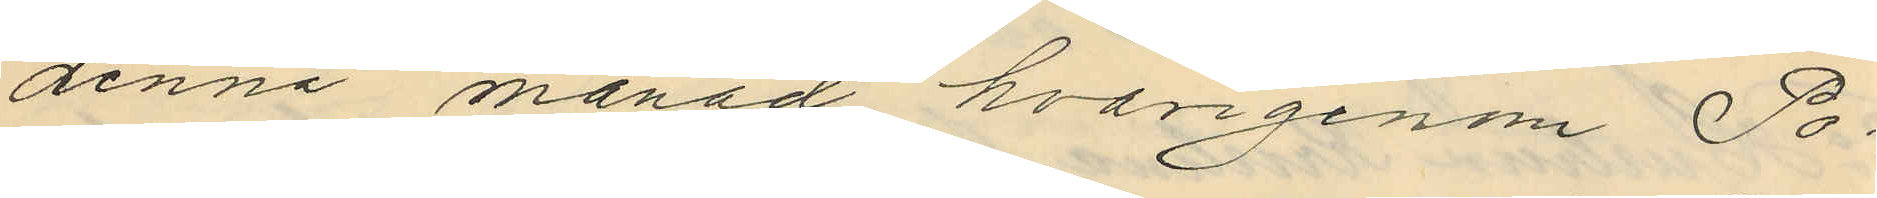denna månad hvarigenom Po¬
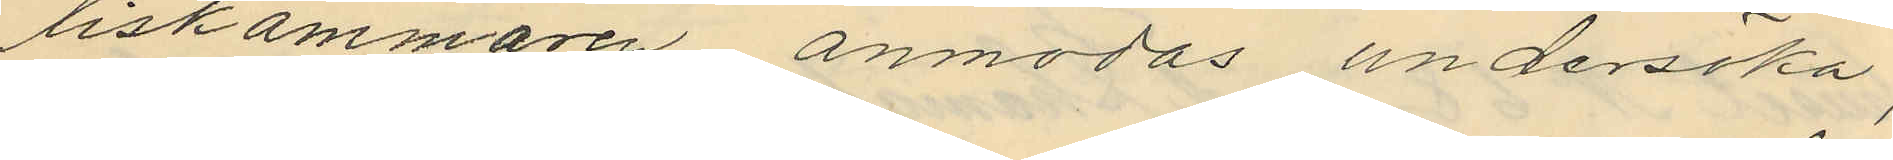liskammaren anmodas undersöka,
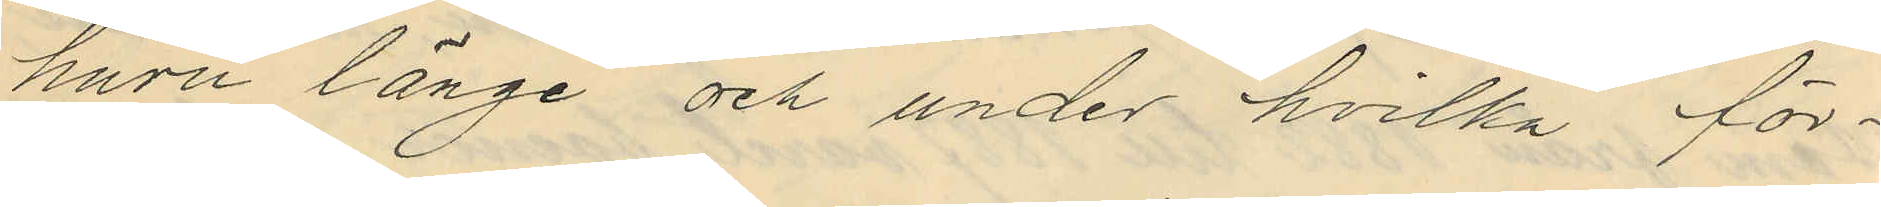huru länge och under hvilka för¬
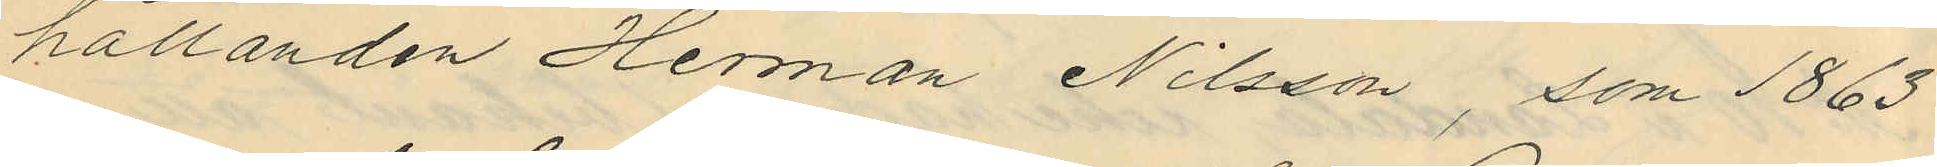hållanden Herman Nilsson, som 1863
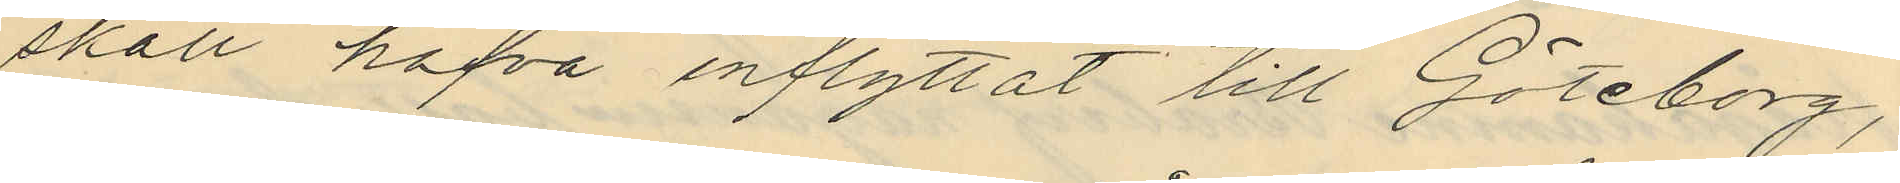skall hafva inflyttat till Göteborg,
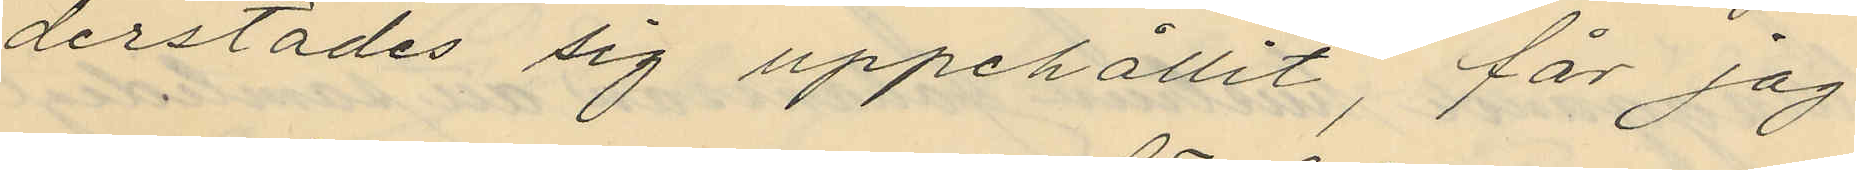derstädes sig uppehållit, får jag
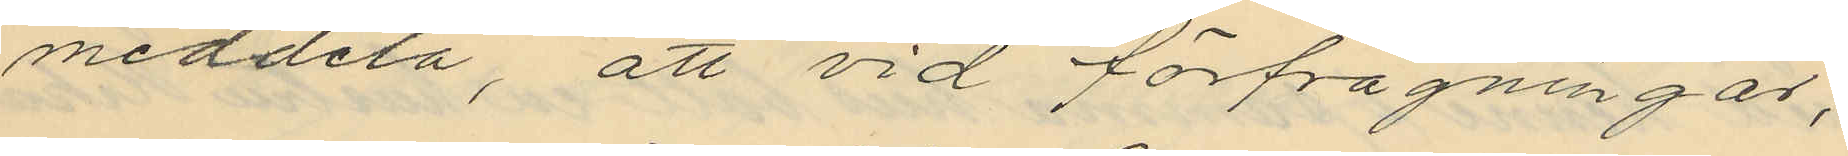meddela, att vid förfrågningar,
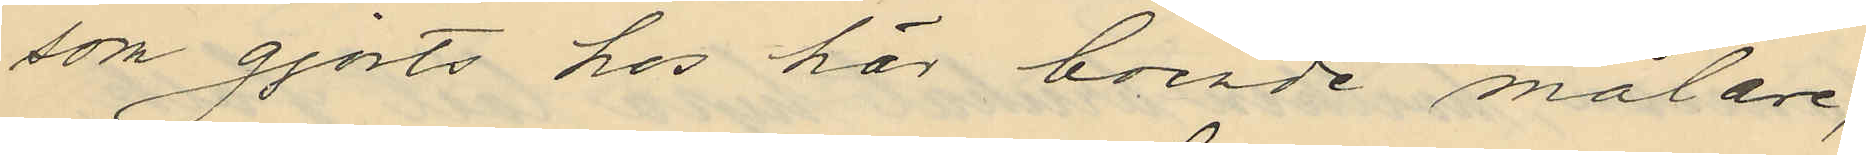som gjorts hos här boende målare,
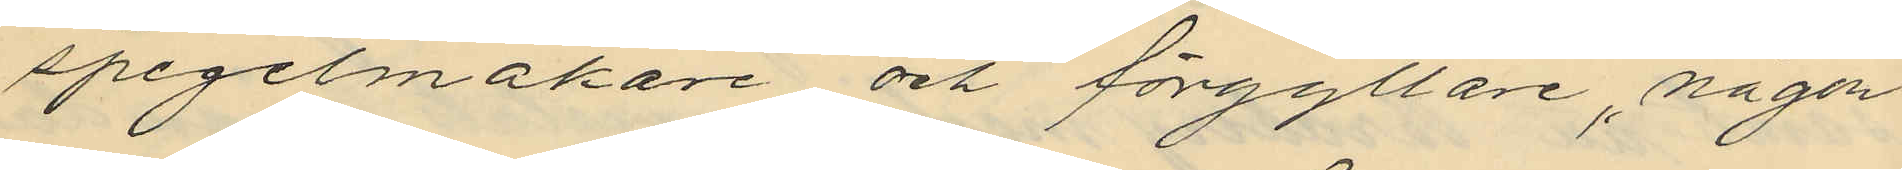spegelmakare och förgyllare, någon
